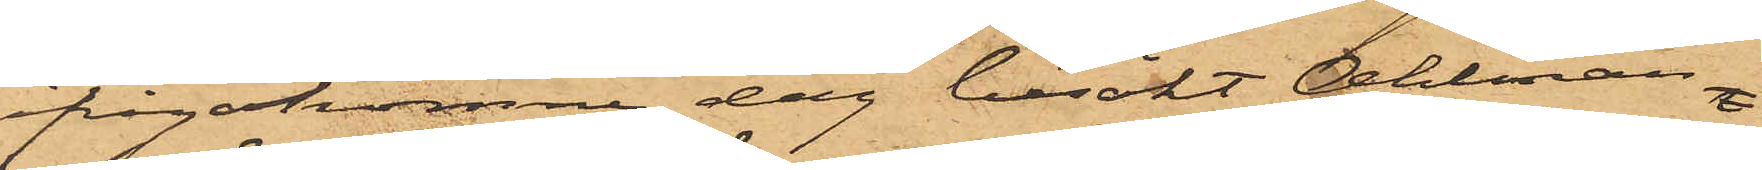frågakomne dag besökt Ahlman
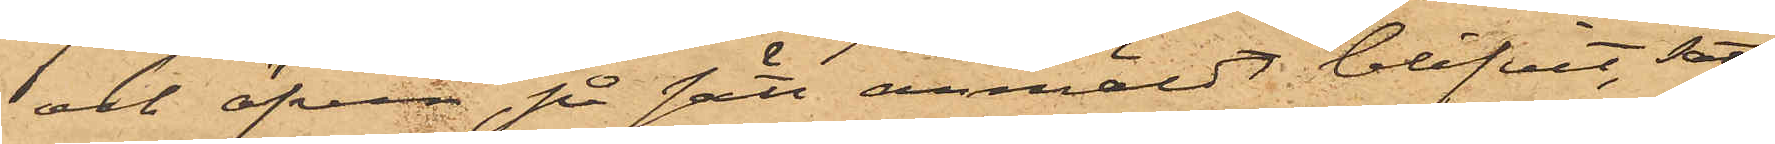och äfven på sätt anmäldt blifvit, satt
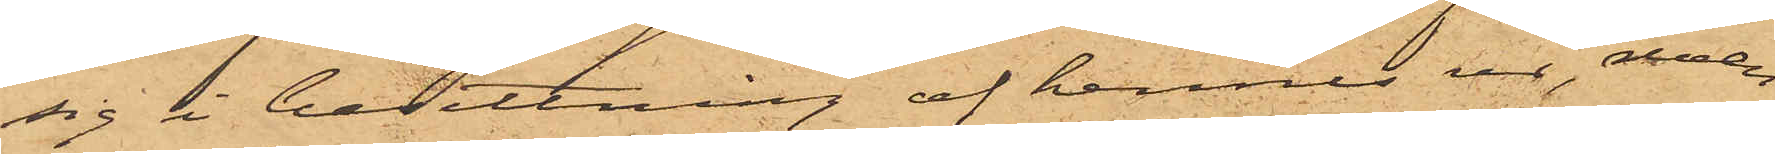sig i besittning af hennes ur, men
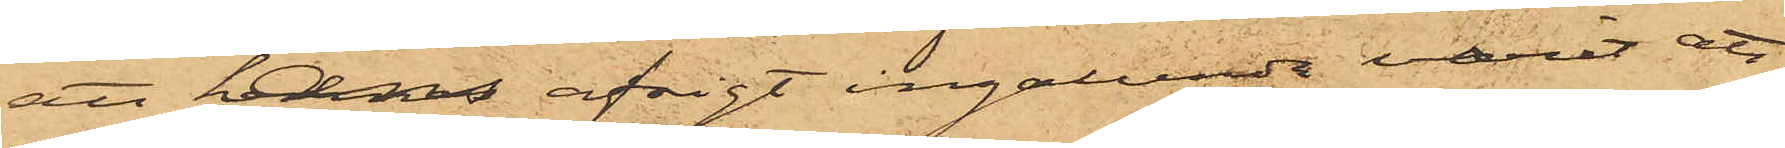att hans afsigt ingalunda varit att
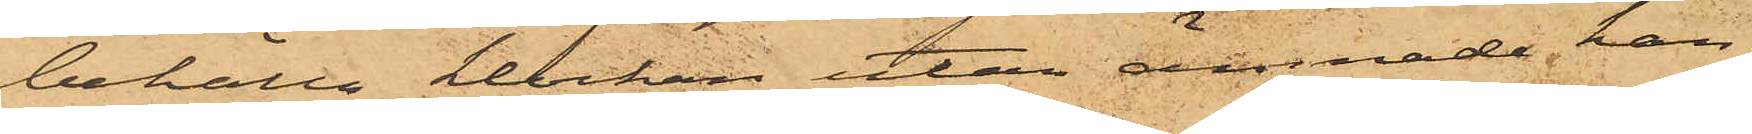behålla klockan utan ämnade han,
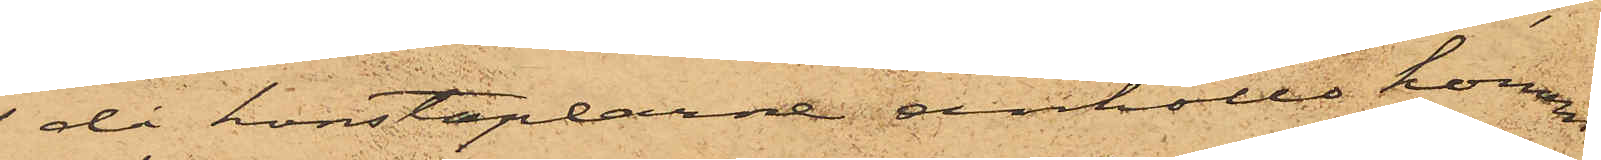då konstaplarne anhöllo honom,
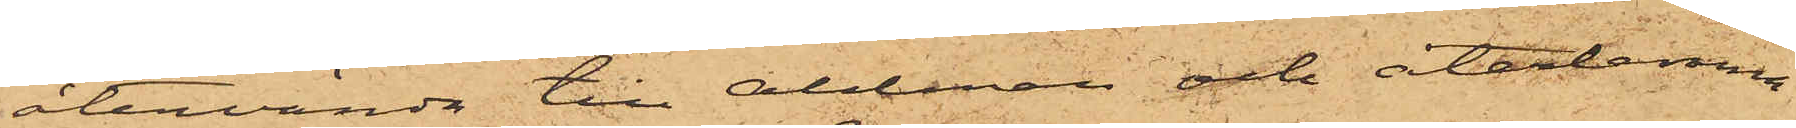återvända till Ahlman och återlemna
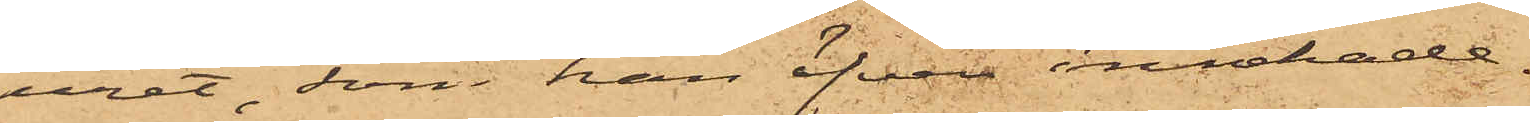uret, som han äfven innehade.
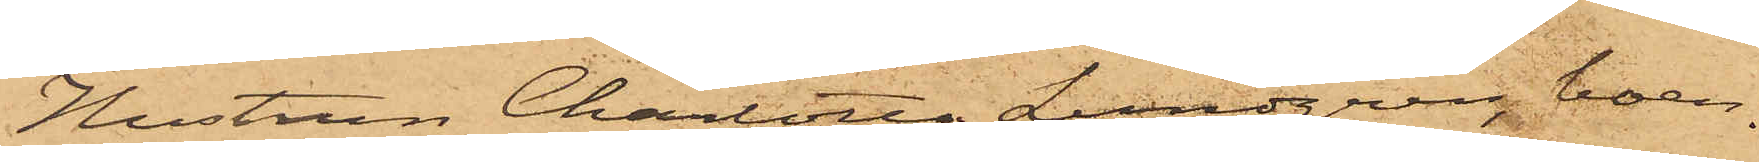Hustrun Charlotta Lundgren, boen¬
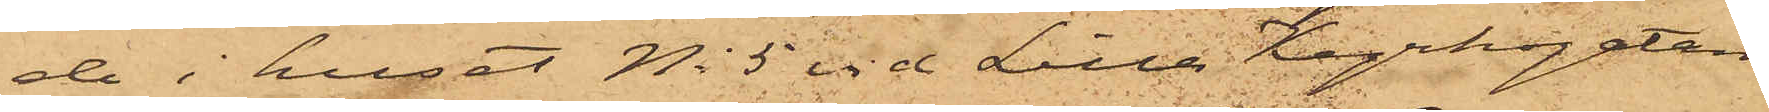de i huset No 5 vid Lilla Kyrkogatan,
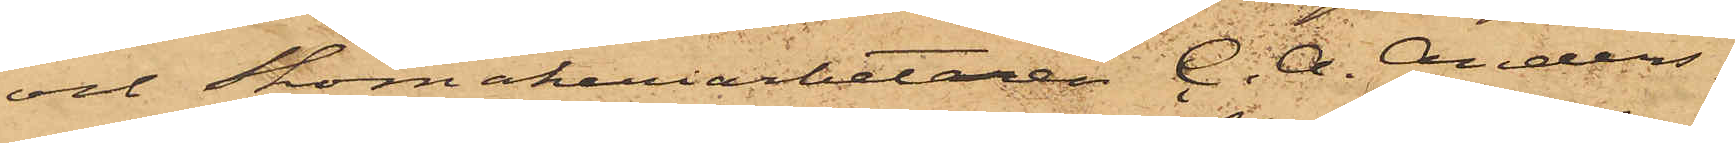och Skomakeriarbetaren C. A. Anders¬
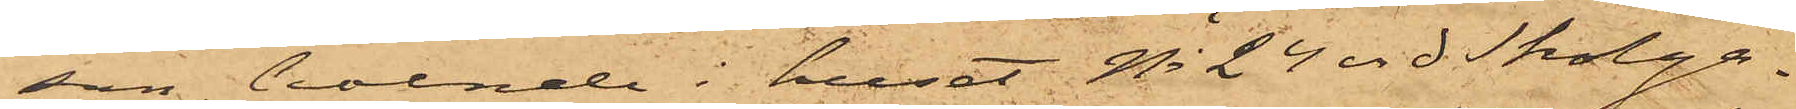son, boende i huset No 24 vid Skolga¬
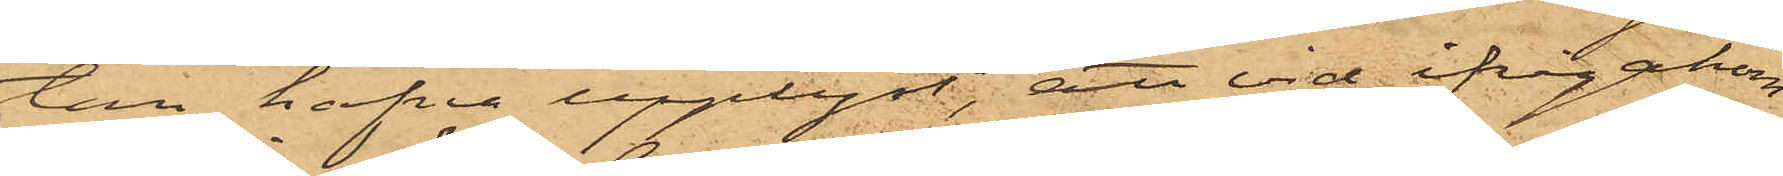tan, hafva upplyst, att vid ifrågakom¬
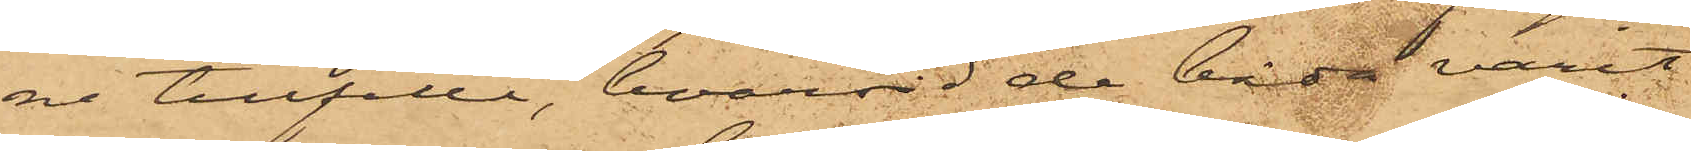ne tillfälle, hvarvid de båda varit
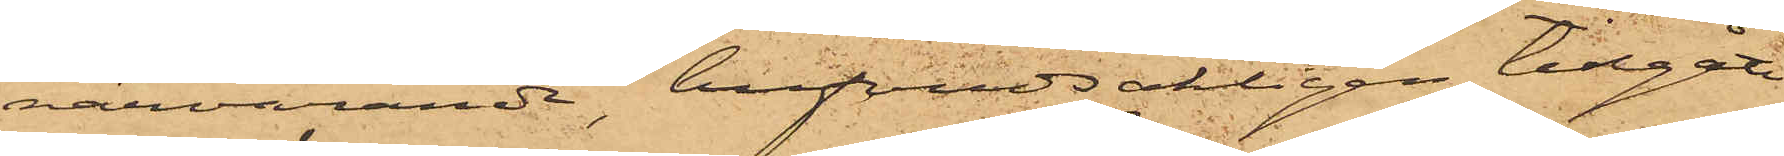närvarande, hufvudsakligen tillgått
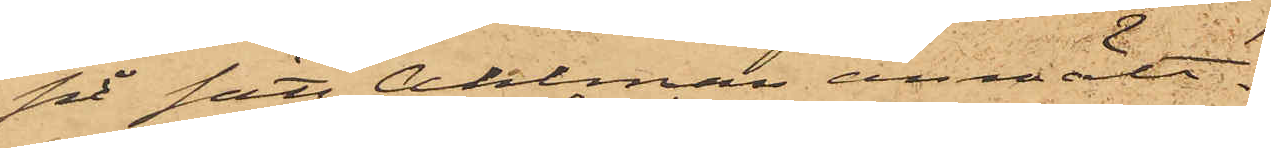på sätt Ahlman anmält.
